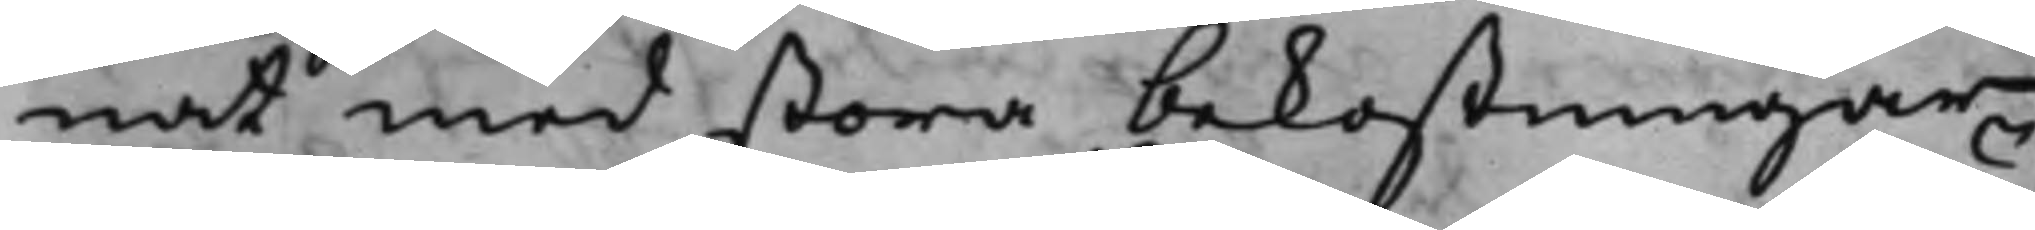nat med stora bekostningar
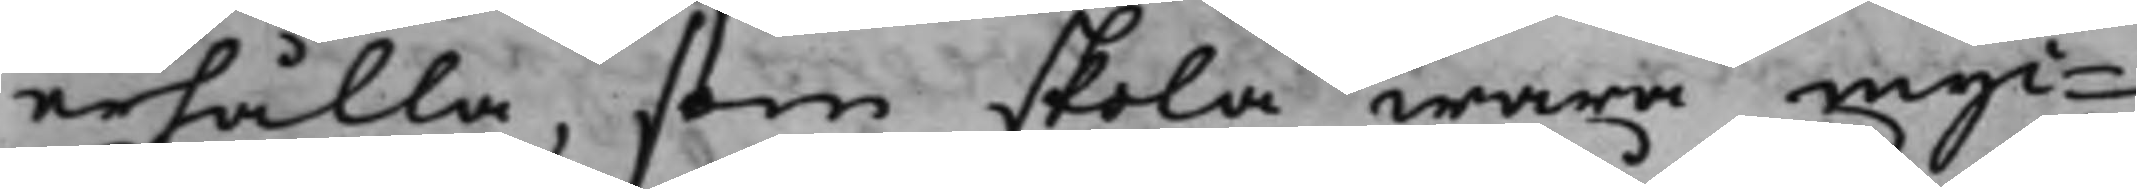erhålla, som skola wara myc¬
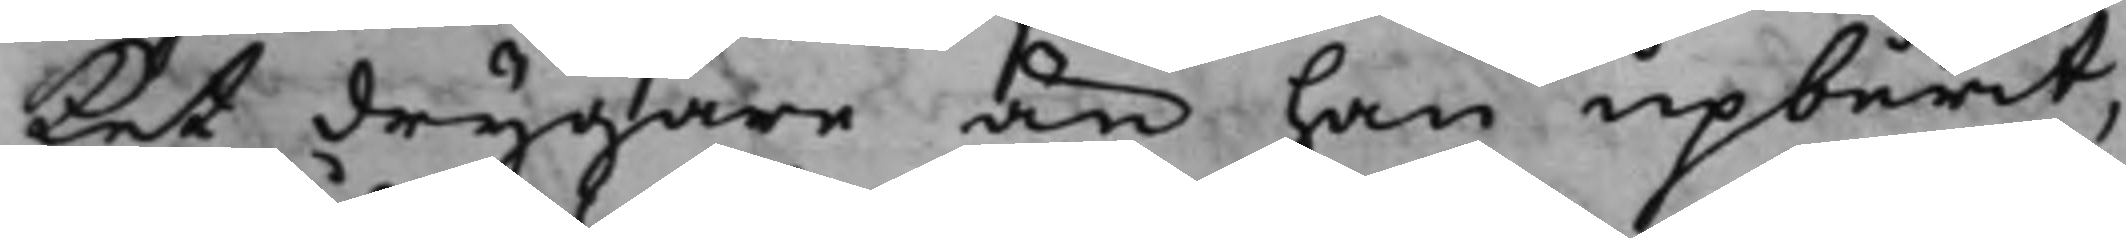ket drygare än han upburit,
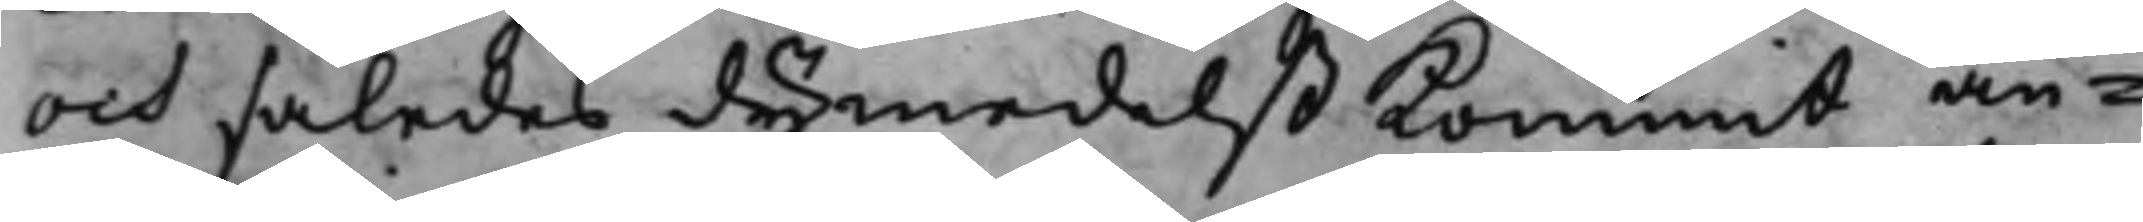och således dymedelst kommit an¬
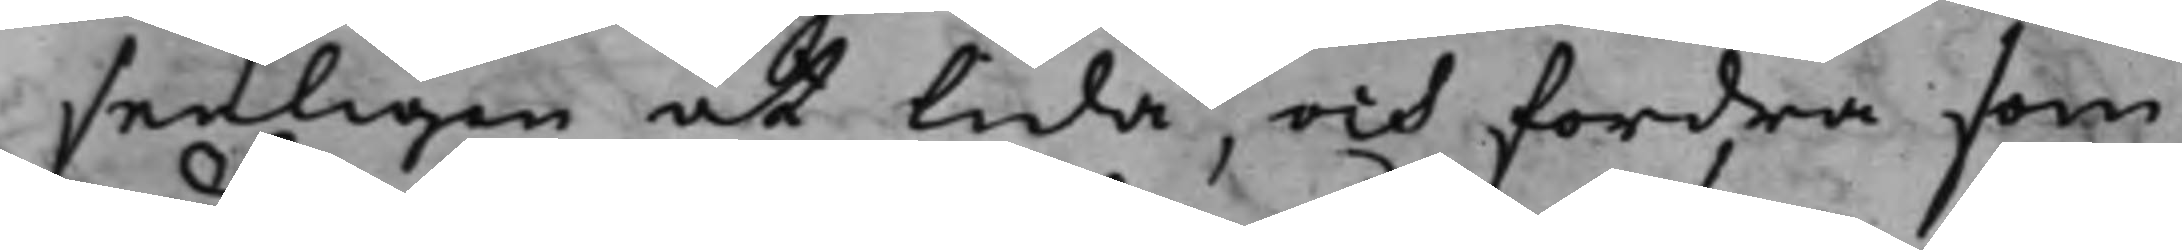senligen at lida, och fordra som
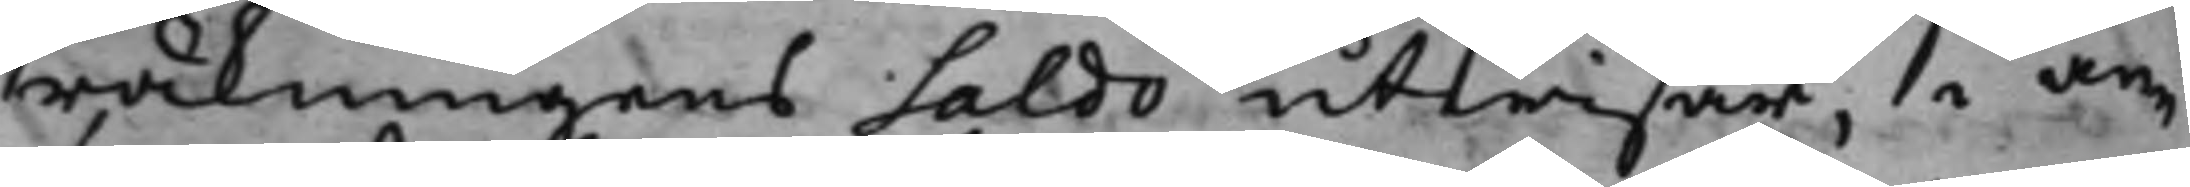räkningens Saldo utwisar, i an¬
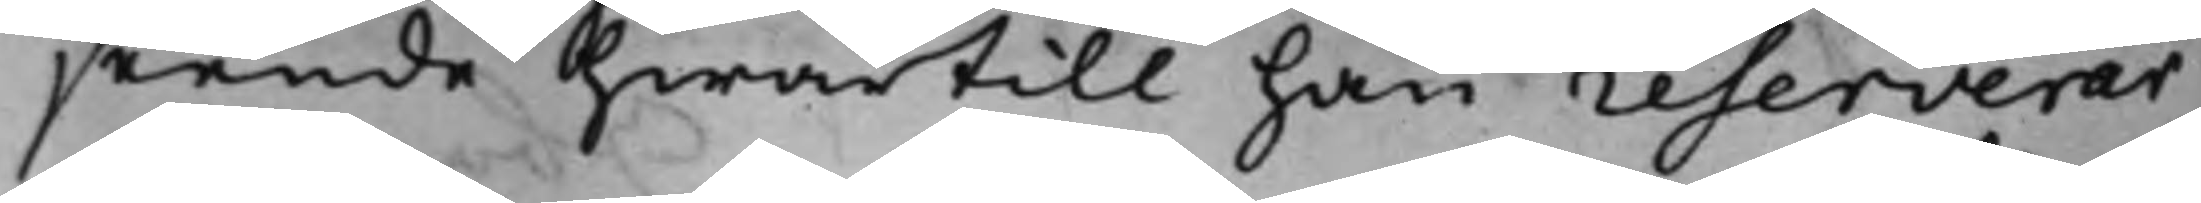seende hwartill han reserverar
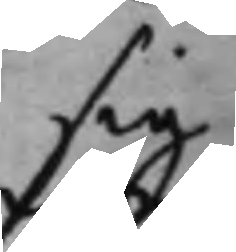sig
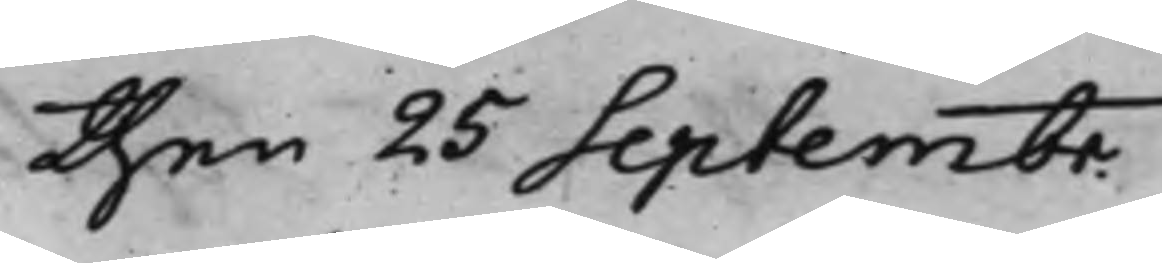then 25 Septembr.
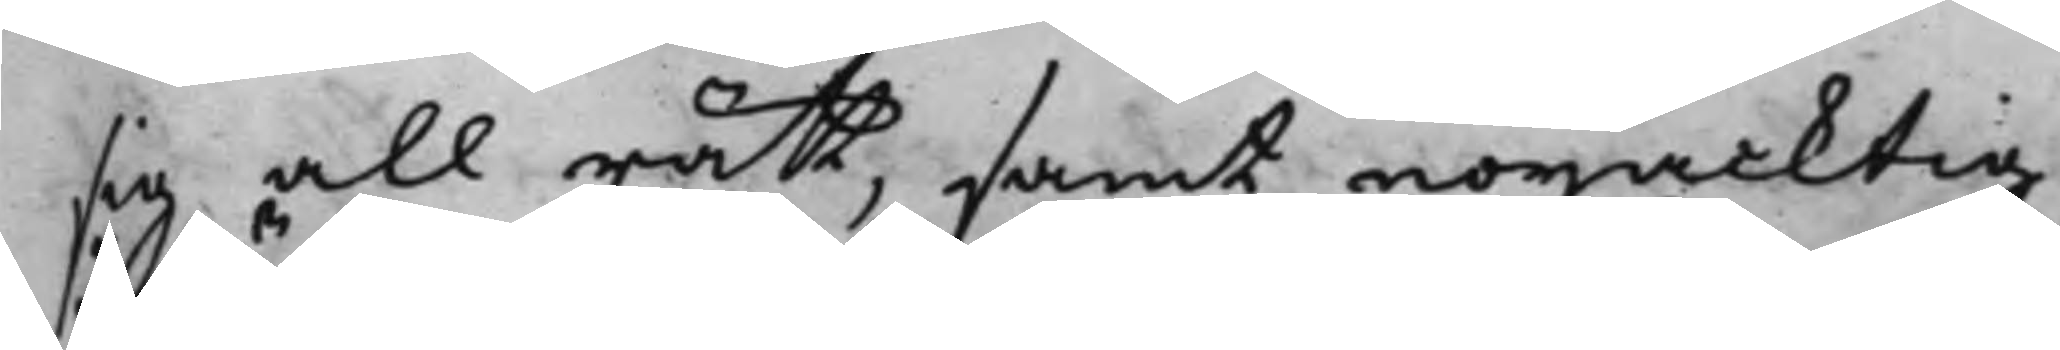sig all rätt, samt nöjacktig
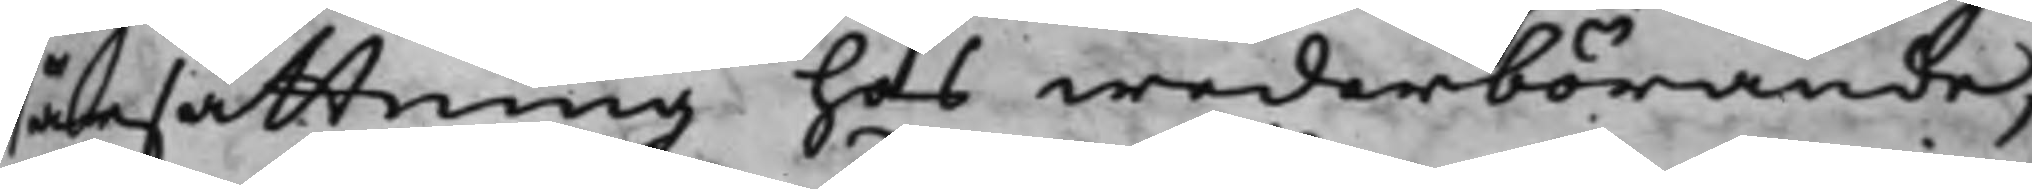ärsättning hos wederbörande,
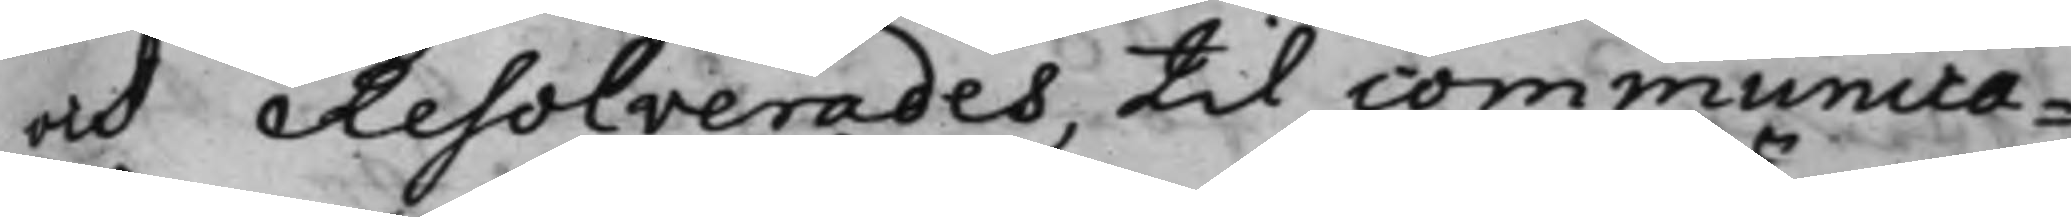och Resolverades, till communica¬
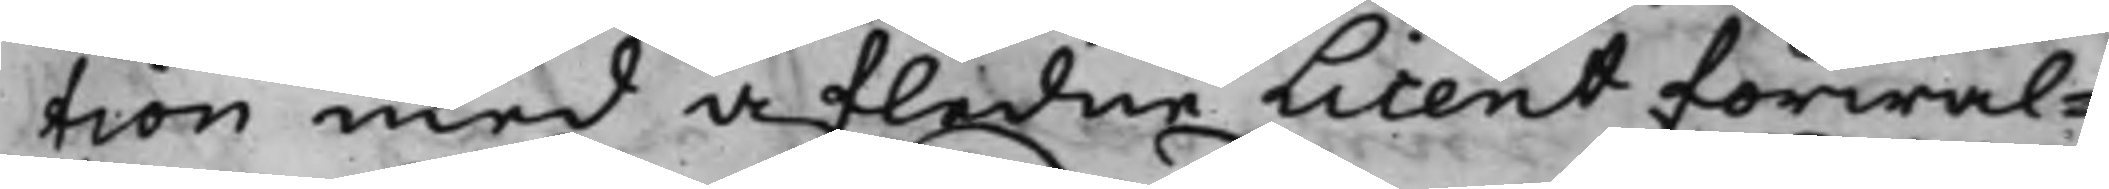tion med afledne Licent förwal¬
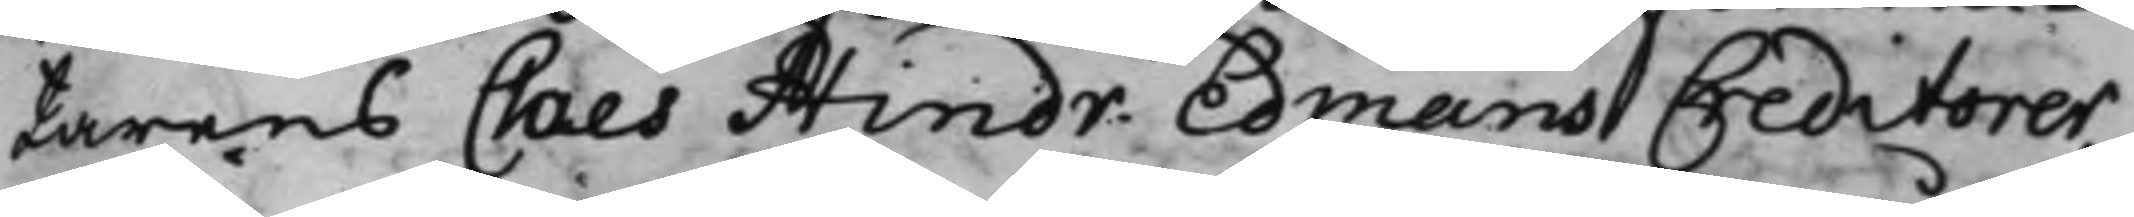tarens Claes Hindr. Edmans Creditorer,
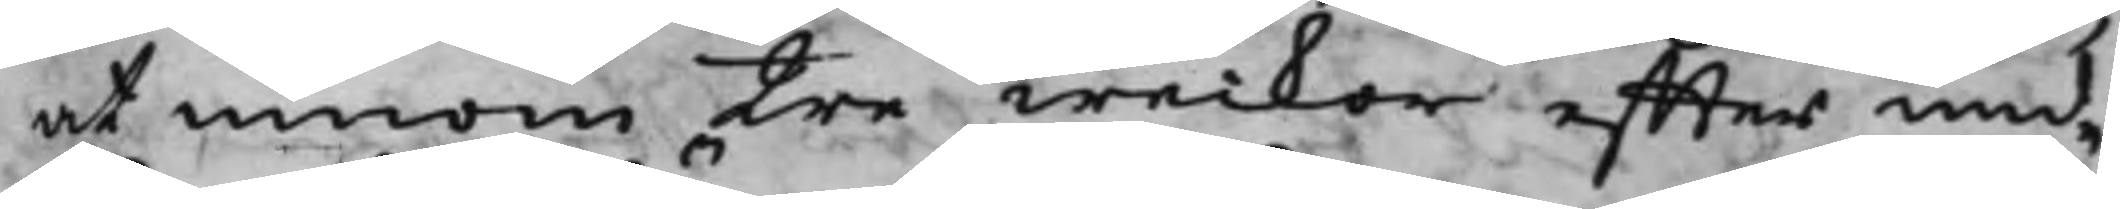at innom tre weckor effter und¬
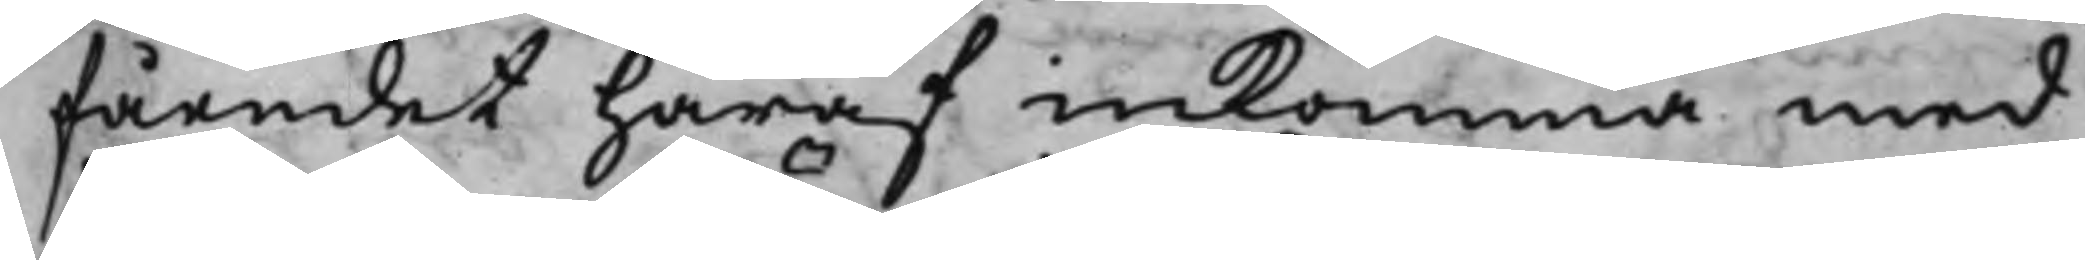fåendet häraf inkomma med
